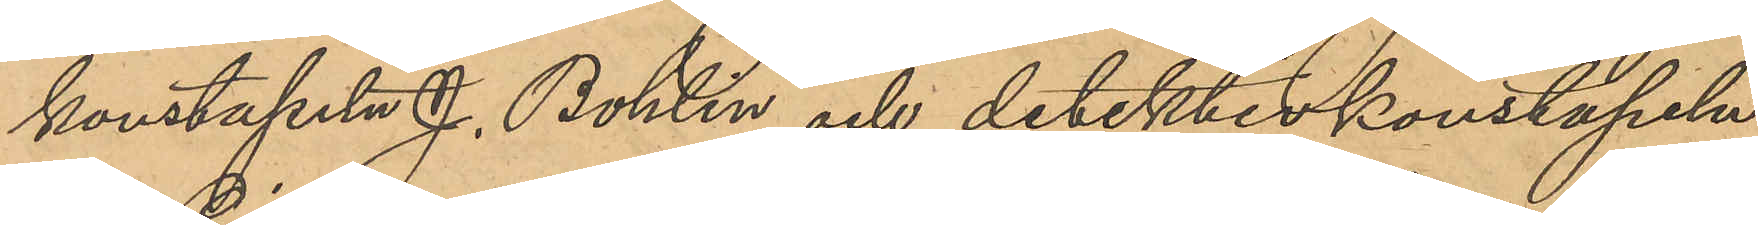konstapeln J. Bohlin och detektivkonstapeln
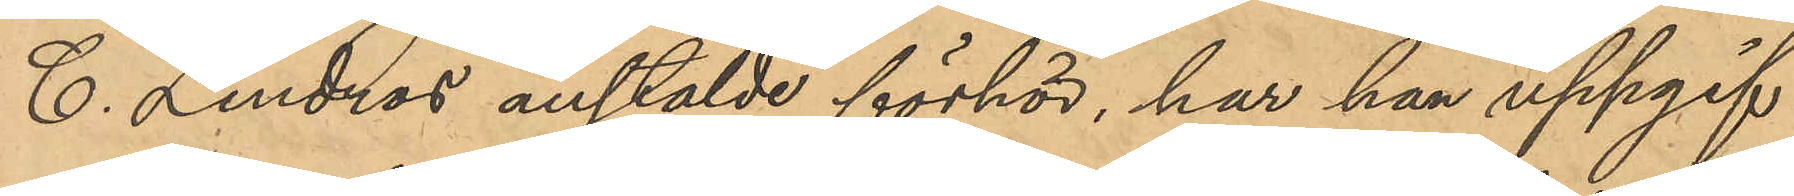C. Lindros anstälde förhör, har han uppgif¬
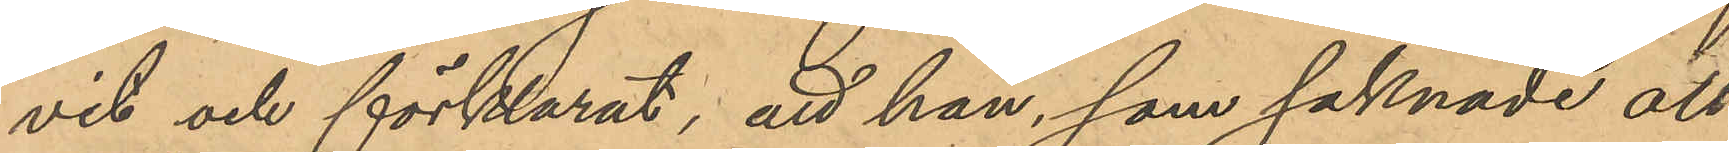vit och förklarat, att han, som saknade all
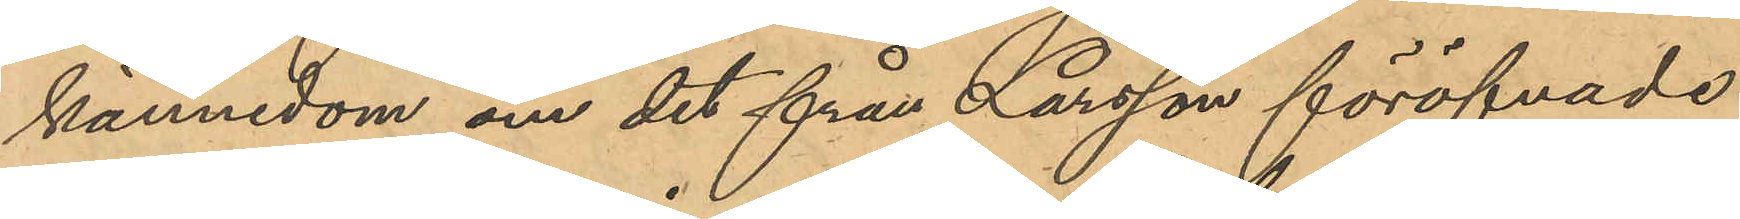kännedom om det från Larsson föröfvade
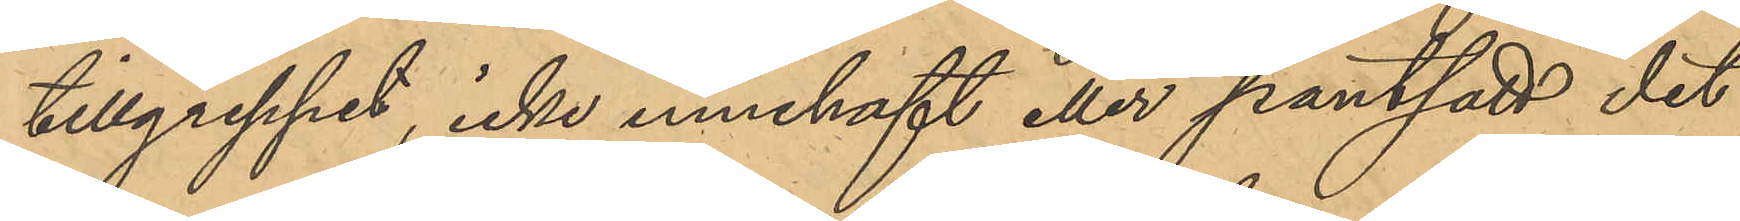tillgreppet, icke innehaft eller pantsatt det
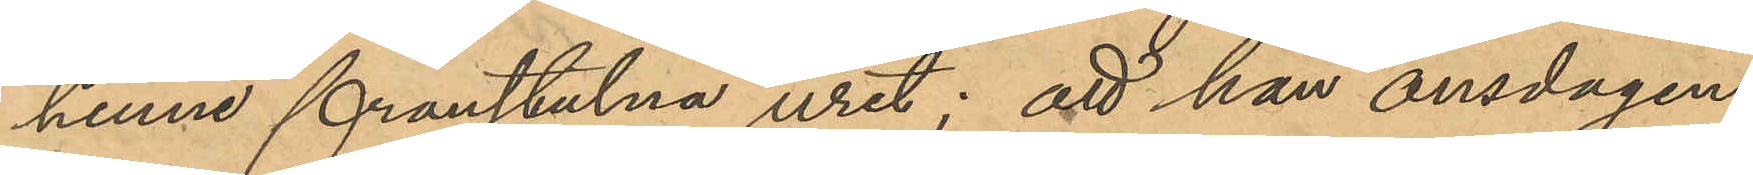henne franstulna uret; att han onsdagen
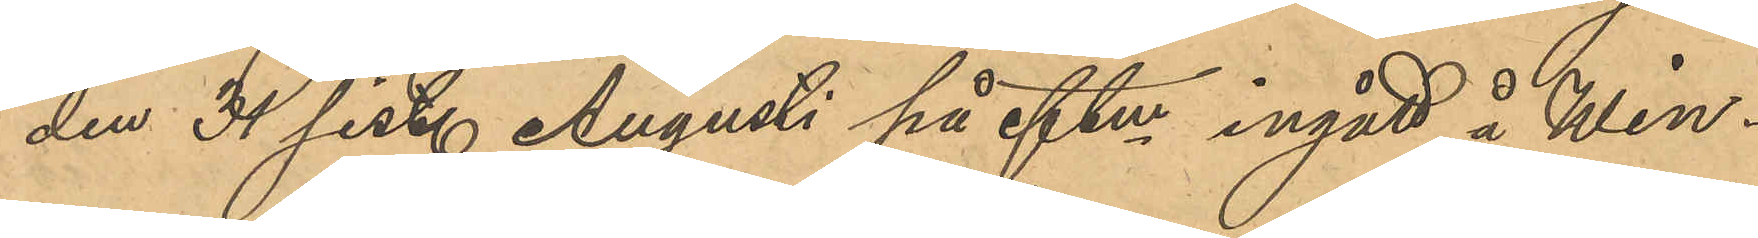den 31 sist. Augusti på eftm ingått å Win¬
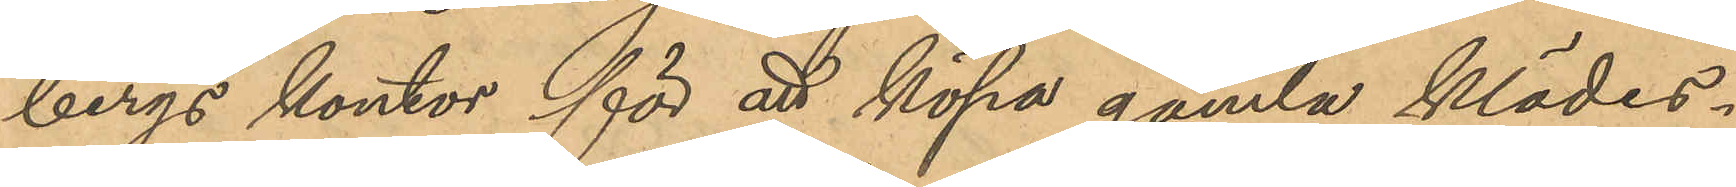bergs kontor för att köpa gamla klädes¬
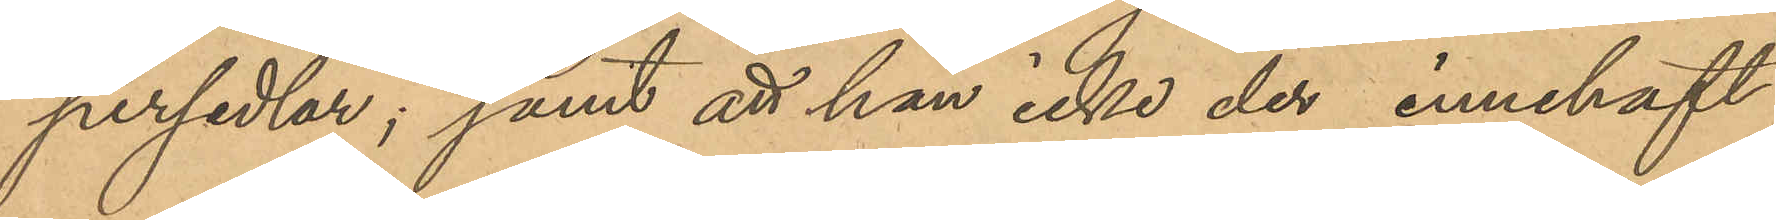persedlar; samt att han icke der innehaft
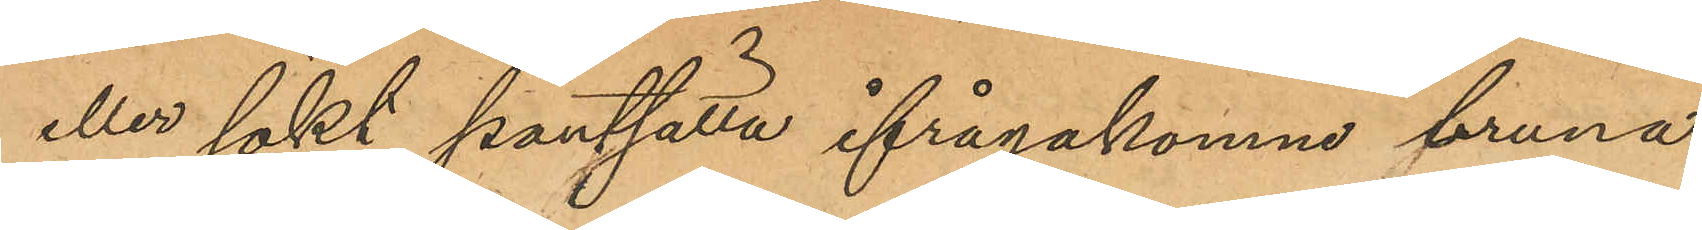eller sökt pantsätta ifrågakomne bruna
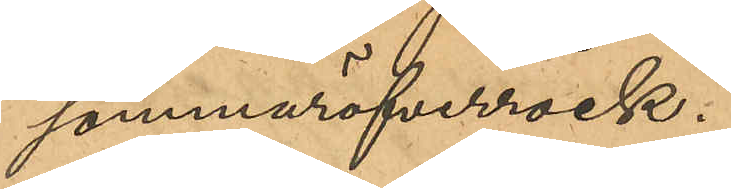sommaröfverrock.
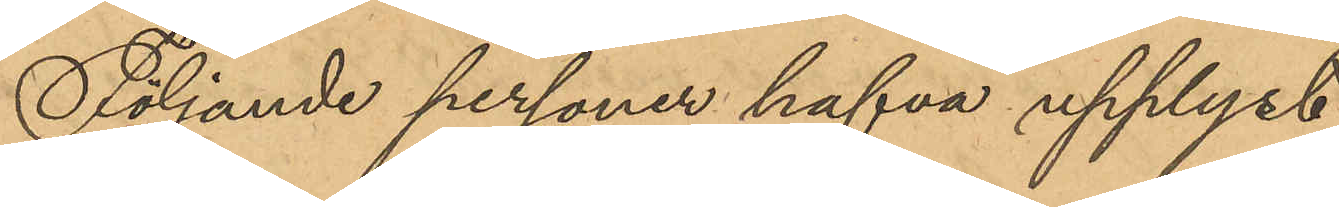Följande personer hafva upplyst:
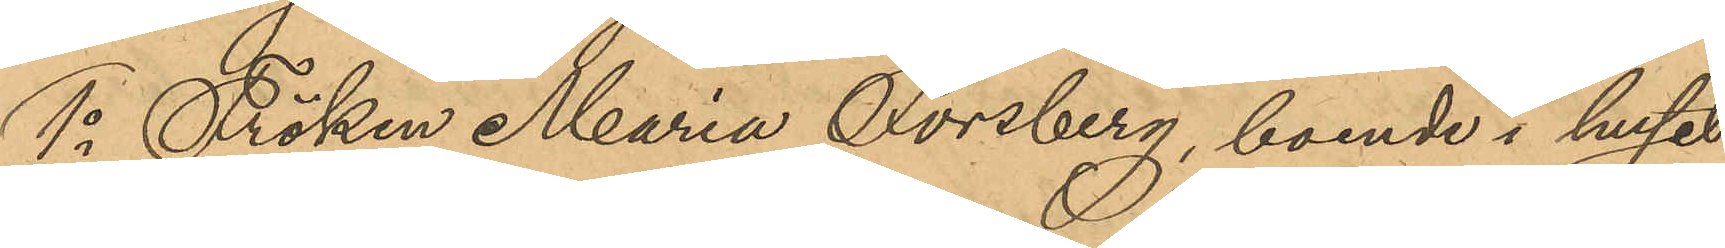1o Fröken Maria Forsberg, boende i huset
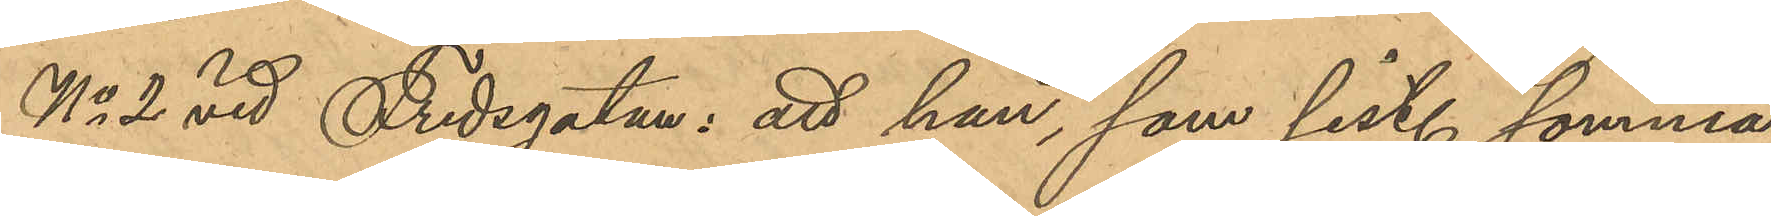No 2 vid Fredsgatan: att hon, som sist. sommar
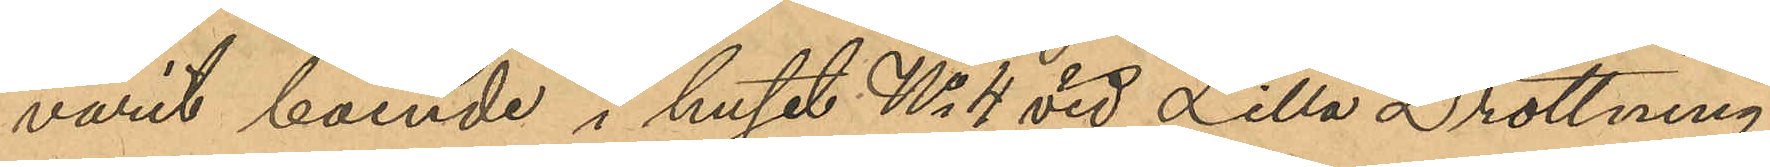varit boende i huset No 4 vid Lilla Drottning¬
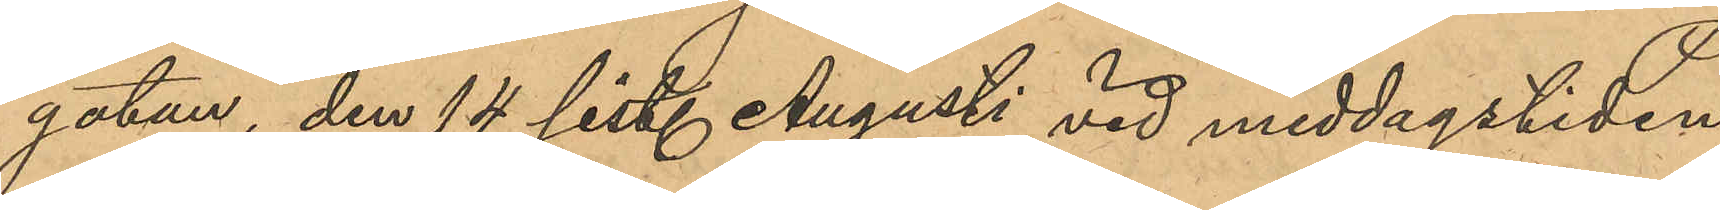gatan, den 14 sist. Augusti vid middagstiden
